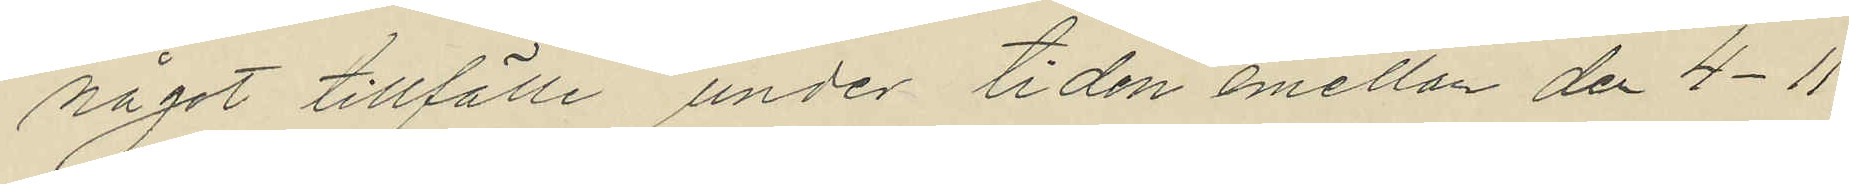något tillfälle under tiden emellan den 4-11
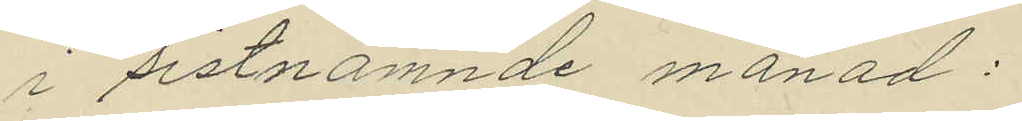i sistnämnde månad:
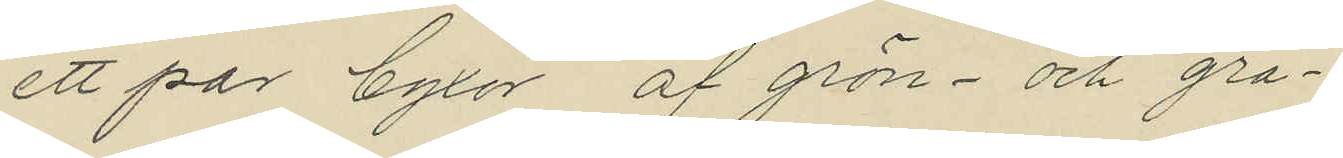ett par byxor af grön- och grå¬
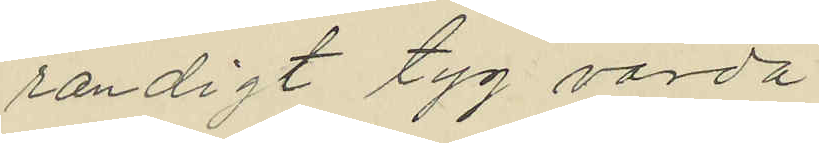randigt tyg värda
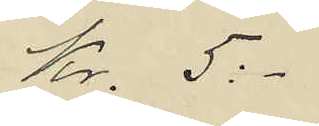Kr. 5:-
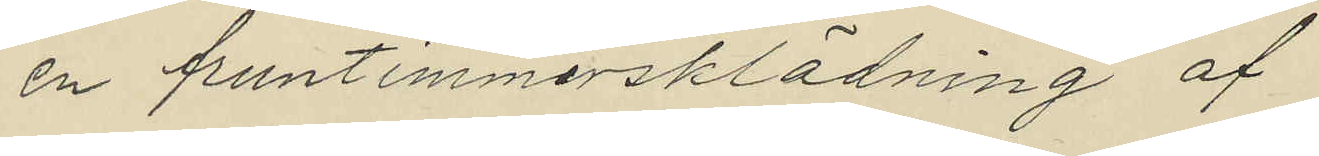en fruntimmersklädning af
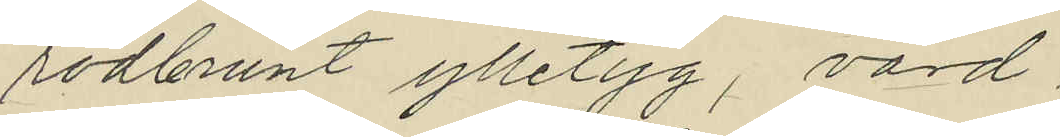rödbrunt ylletyg, värd
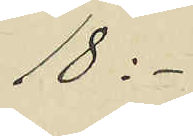18 :-
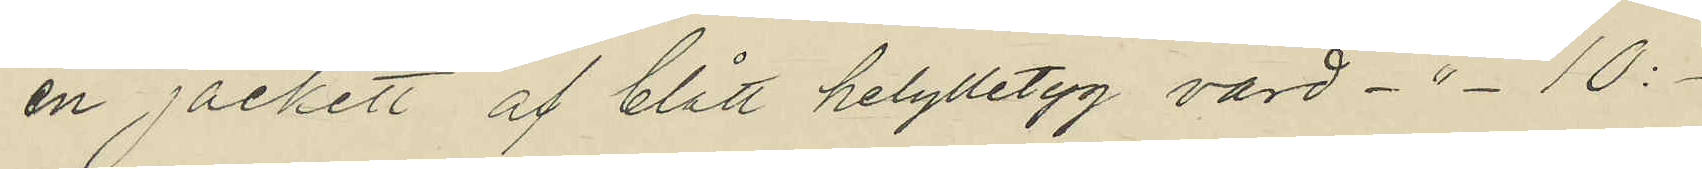en jackett af blått helylletyg, värd -"- 10:-
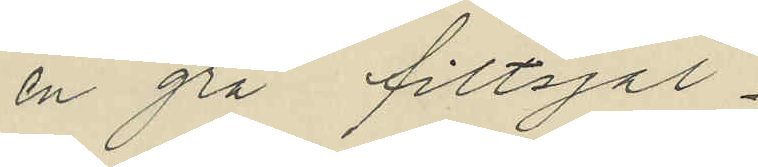en grå filtsjal.
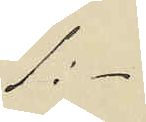1:-
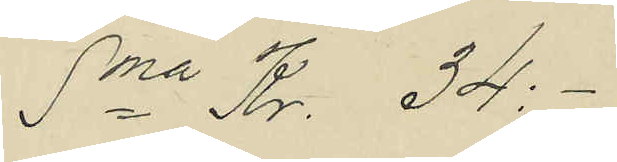Sma Kr. 34:-
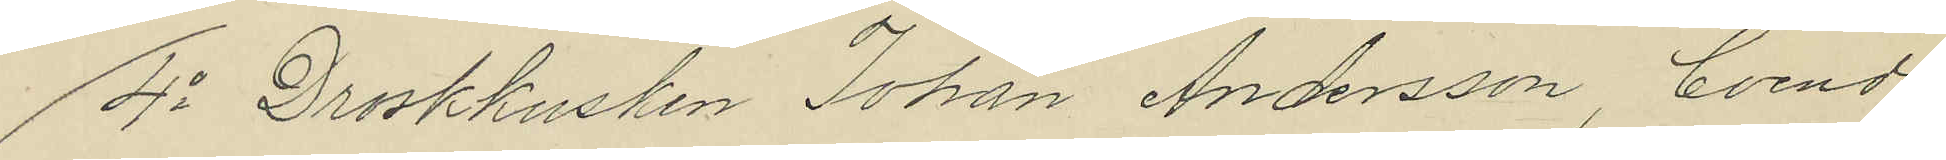4o Droskkusken Johan Andersson, boende
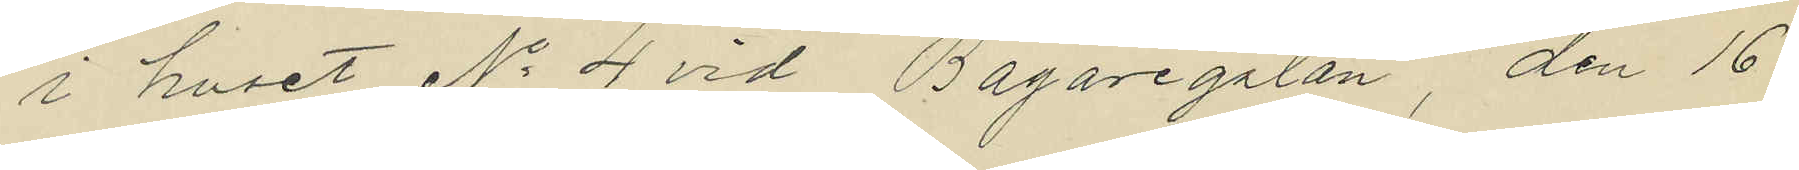i huset No 4 vid Bagaregatan, den 16
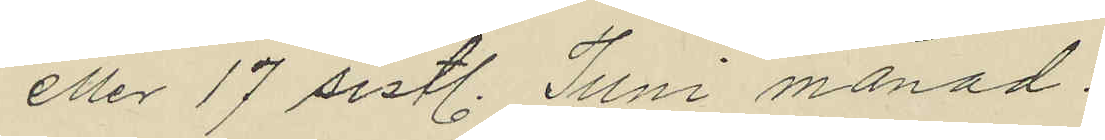eller 17 sistl. Juni månad:
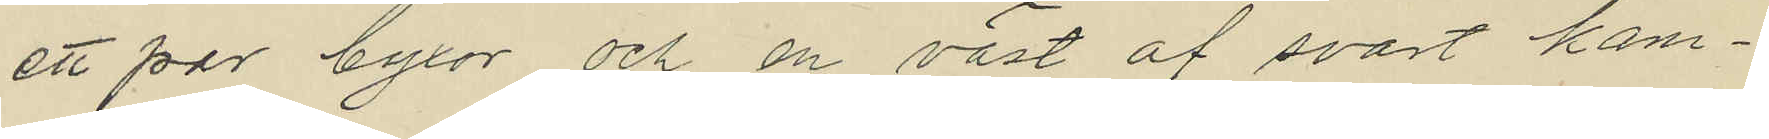ett par byxor och en väst af svart kam¬
